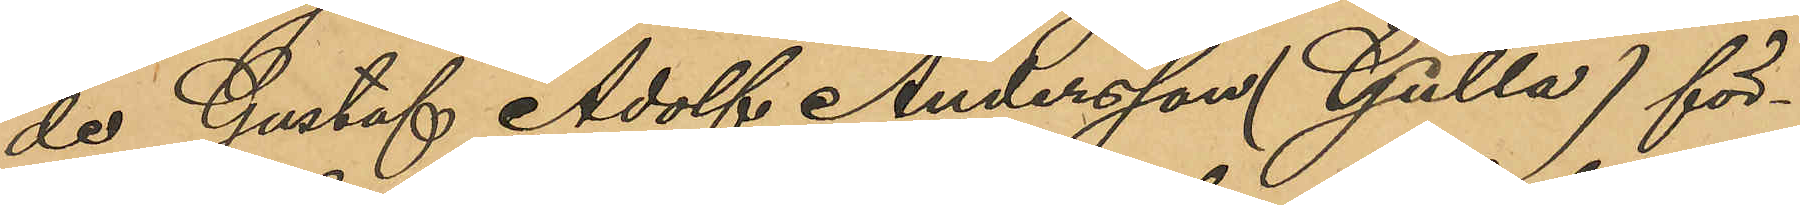de Gustaf Adolf Andersson (Gulla) för¬
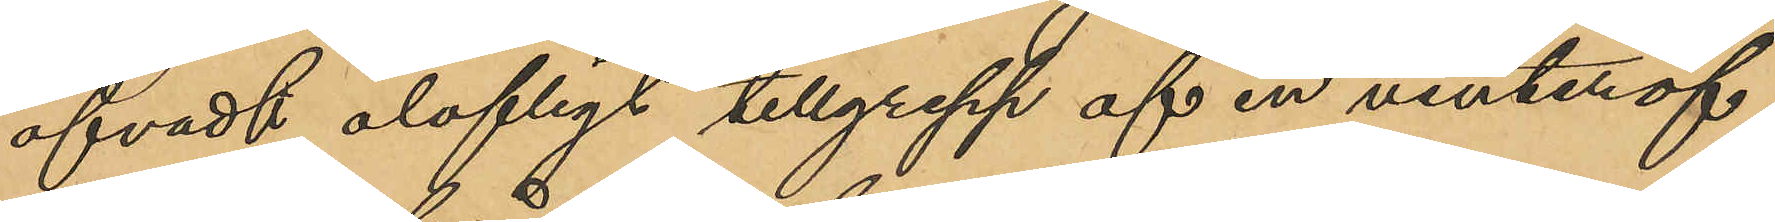öfvadt olofligt tillgrepp af en vinteröf¬
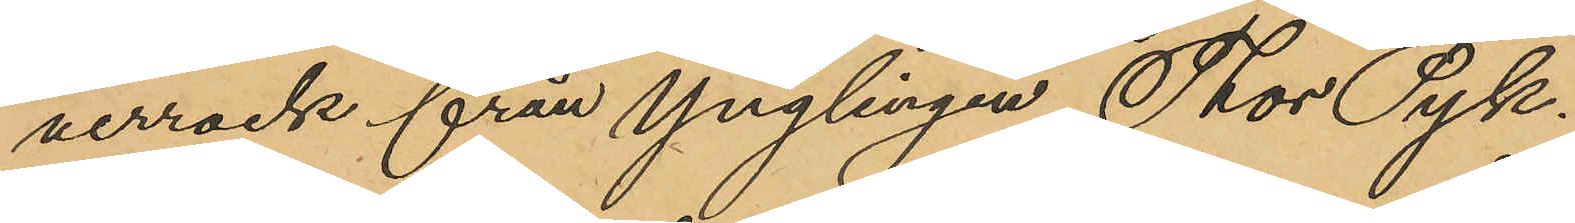verrock från Ynglingen Thor Pyk.
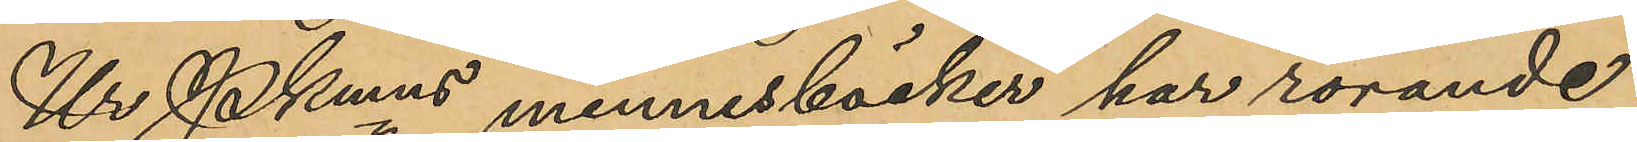Ur Pkmns minnesböcker har rörande
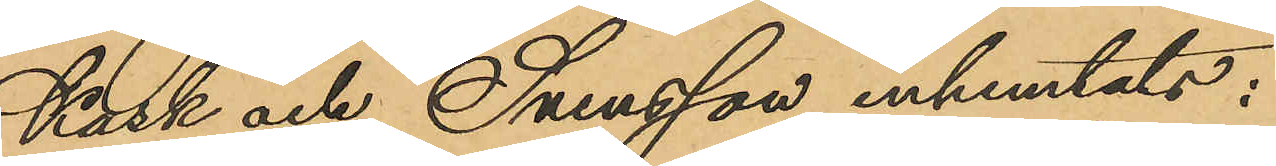Kask och Svensson inhemtats:
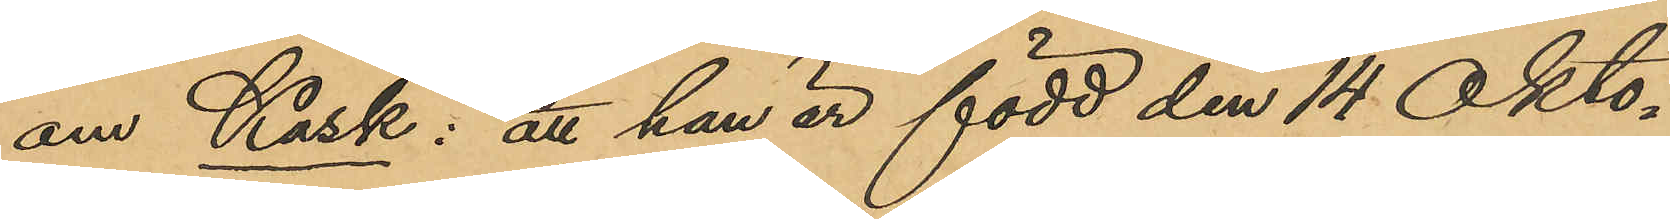om Kask: att han är född den 14 Okto¬
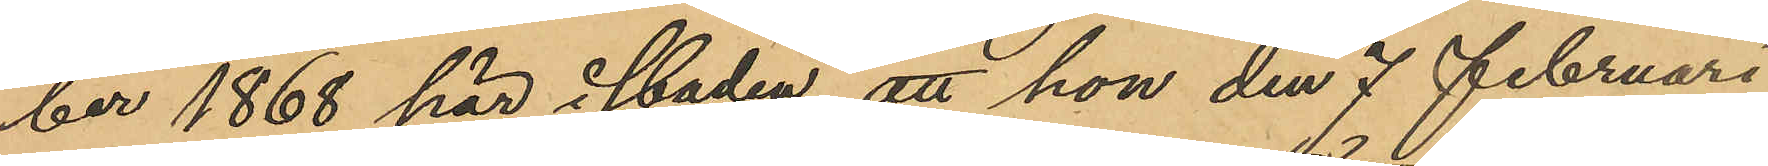ber 1868 här i staden, att han den 7 Februari
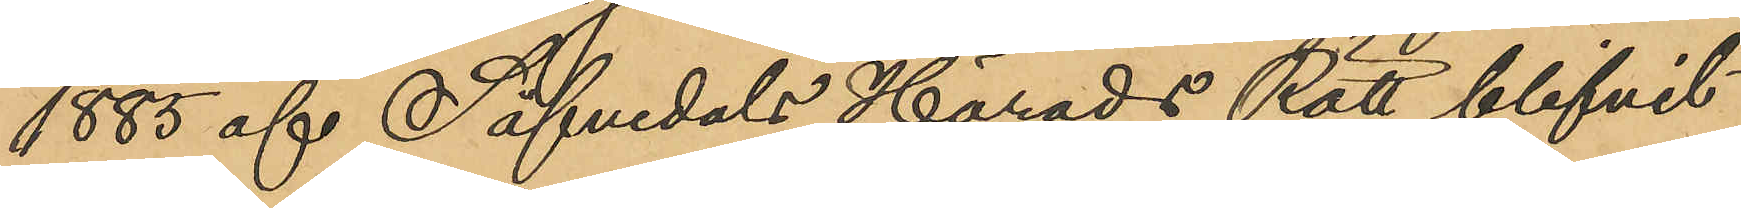1885 af Säfvedals Härads Rätt blifvit
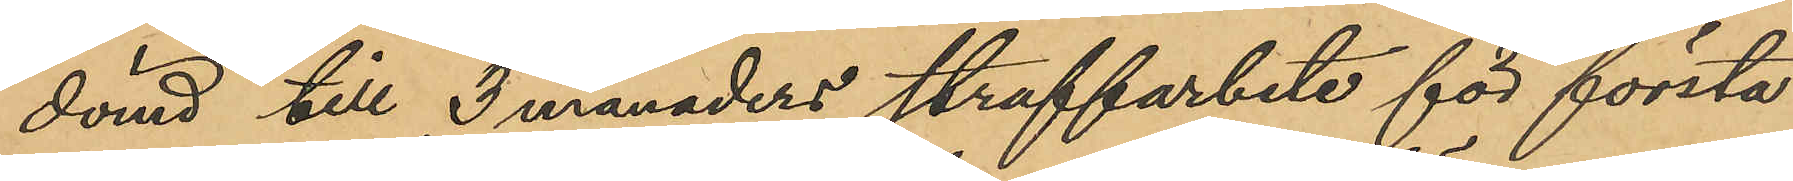dömd till 3 månaders straffarbete för första
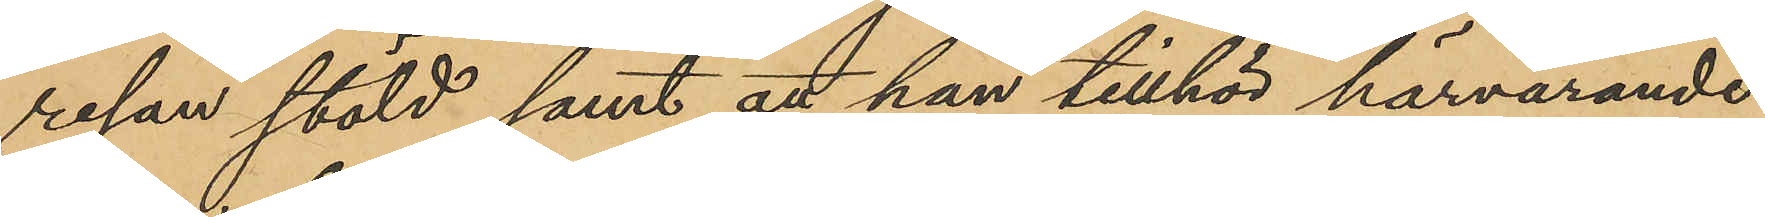resan stöld; samt att han tillhör härvarande
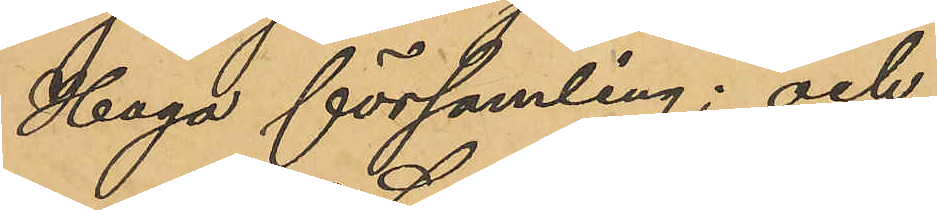Haga församling; och
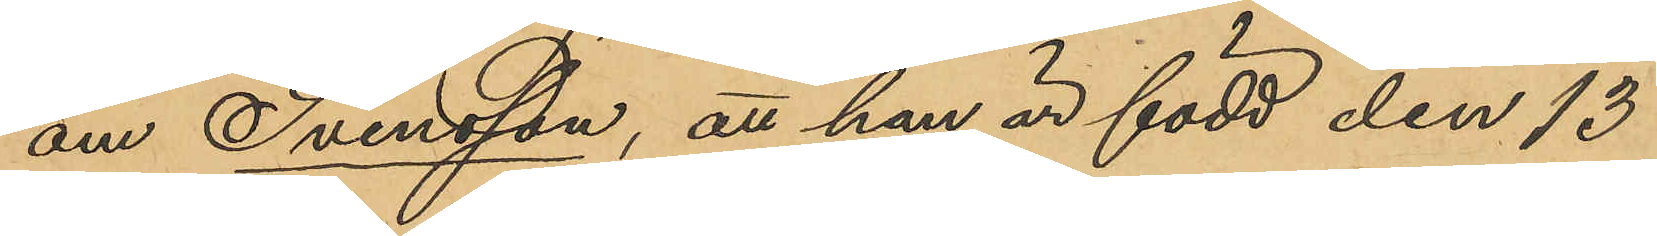om Svensson, att han är född den 13
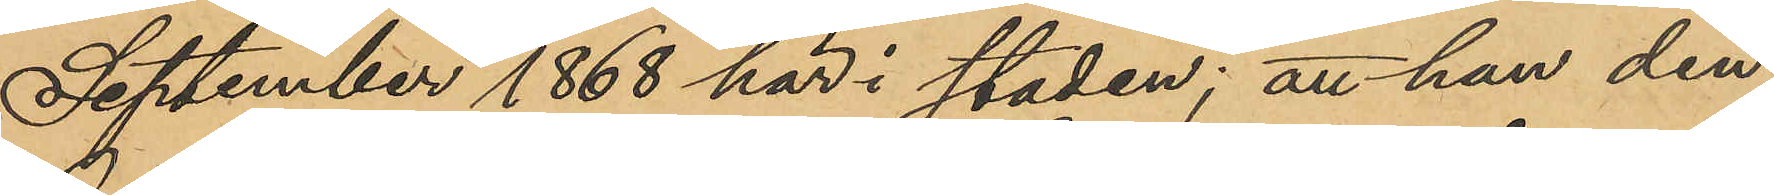September 1868 här i staden; att han den
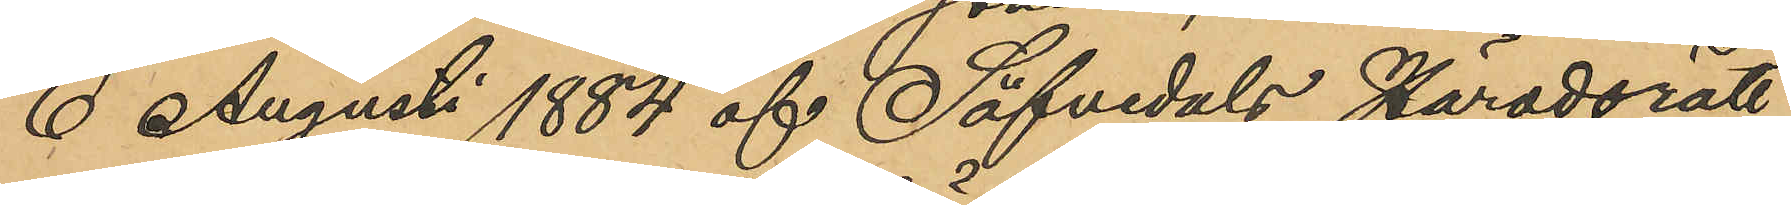6 Augusti 1884 af Säfvedals Häradsrätt
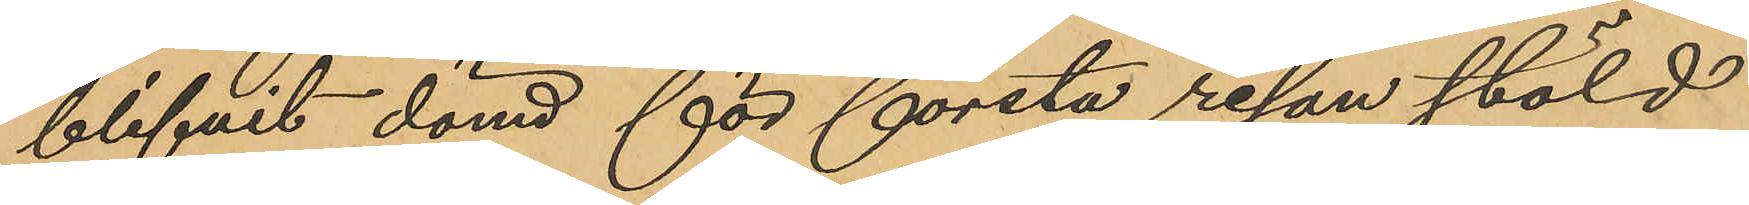blifvit dömd för första resan stöld
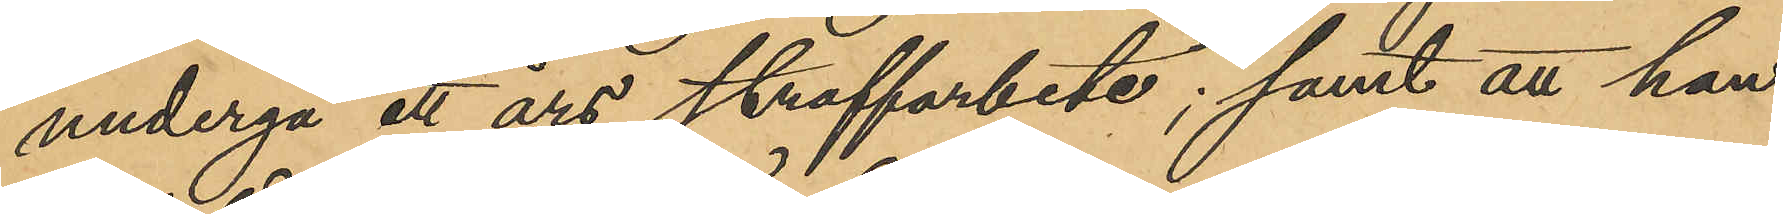undergå ett års straffarbete; samt att han
